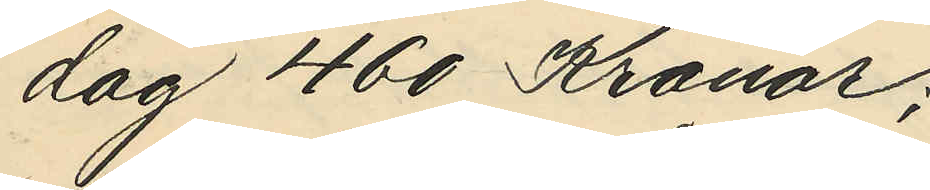dag 460 Kronor;
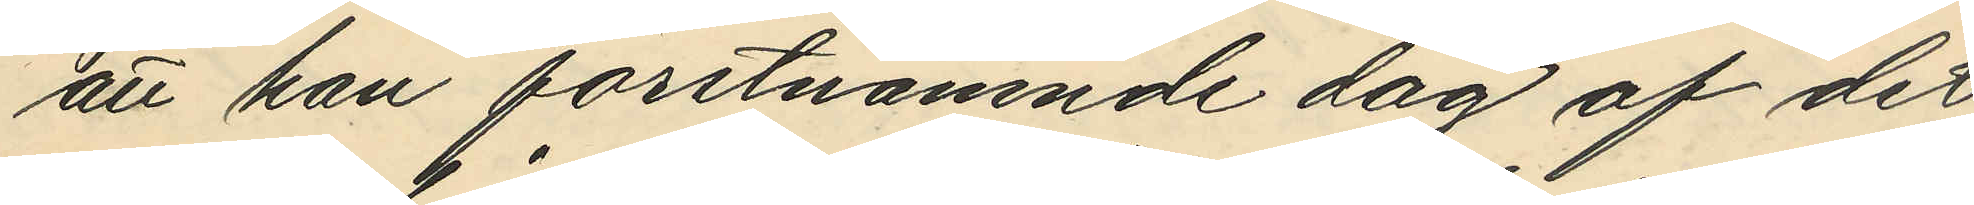att han förutnämnde dag af det 
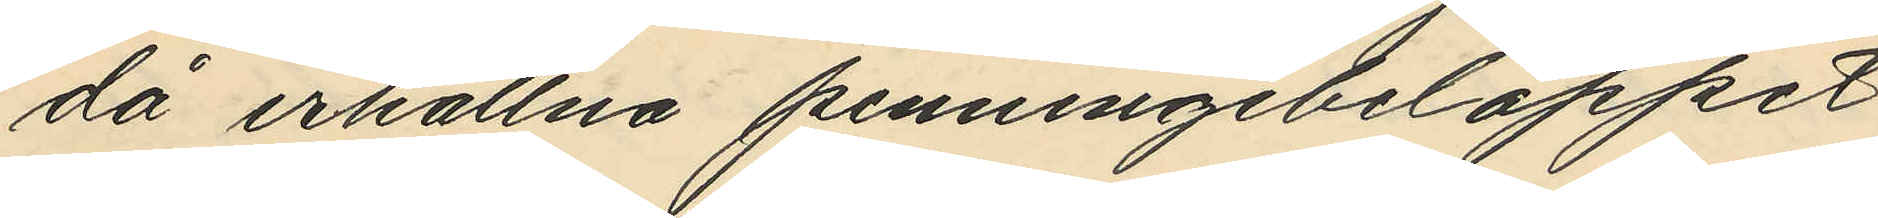då erhållna penningebeloppet
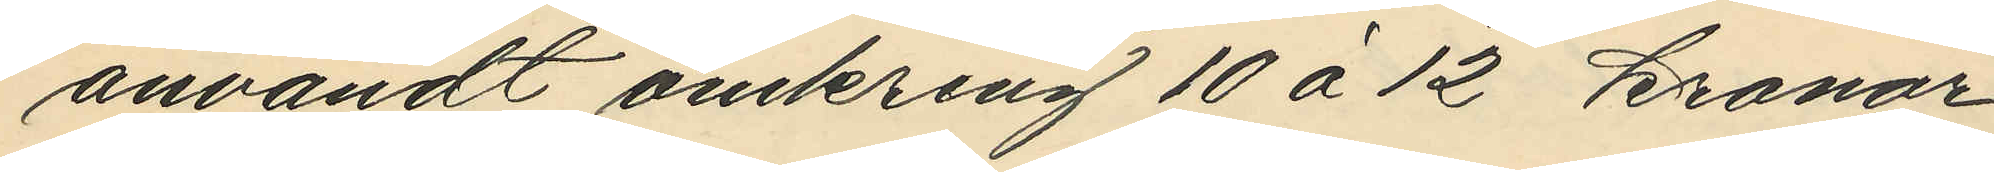användt omkring 10 á 12 kronor
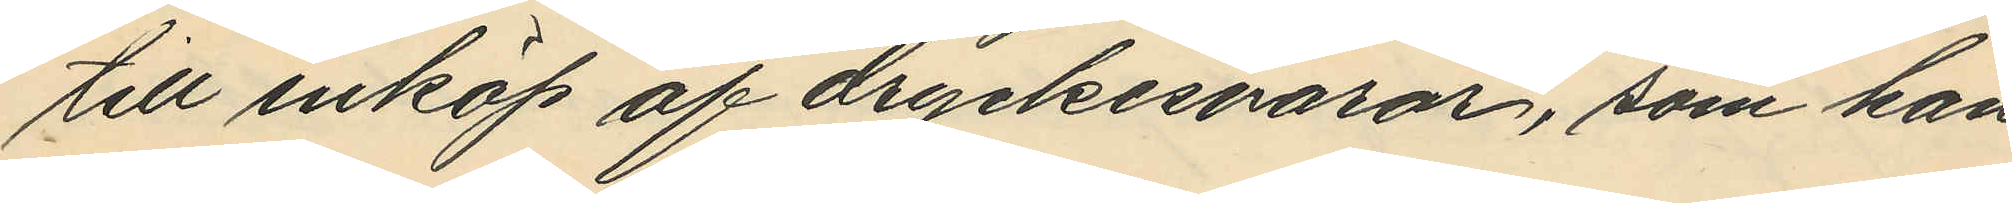till inköp af dryckesvaror, som han
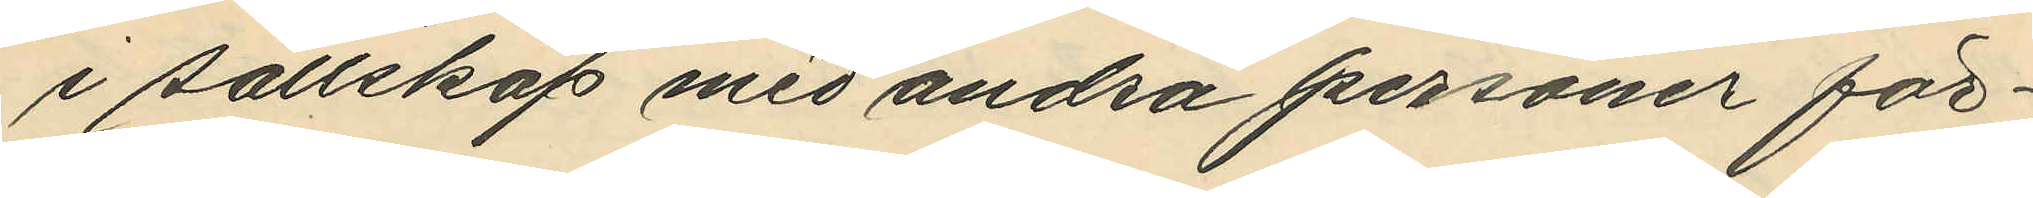i sällskap med andra personer för¬
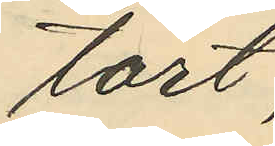tärt,
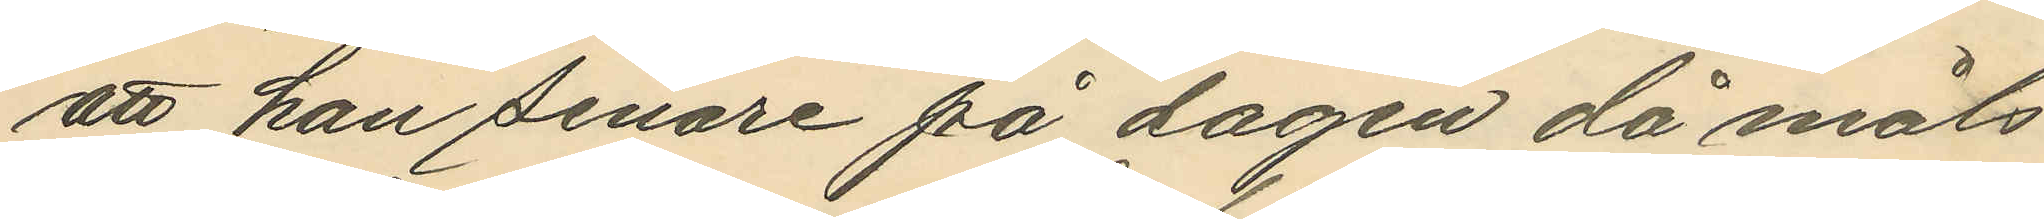att han senare på dagen då måls¬
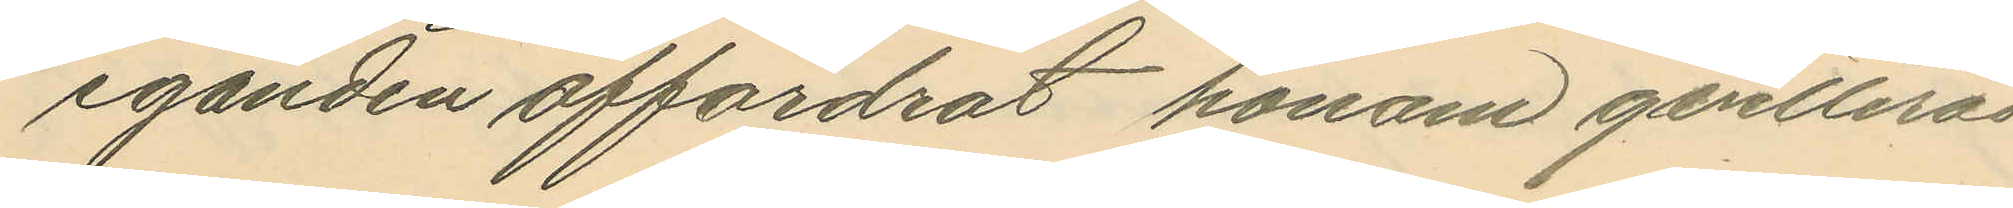eganden affordrat honom qvitterad
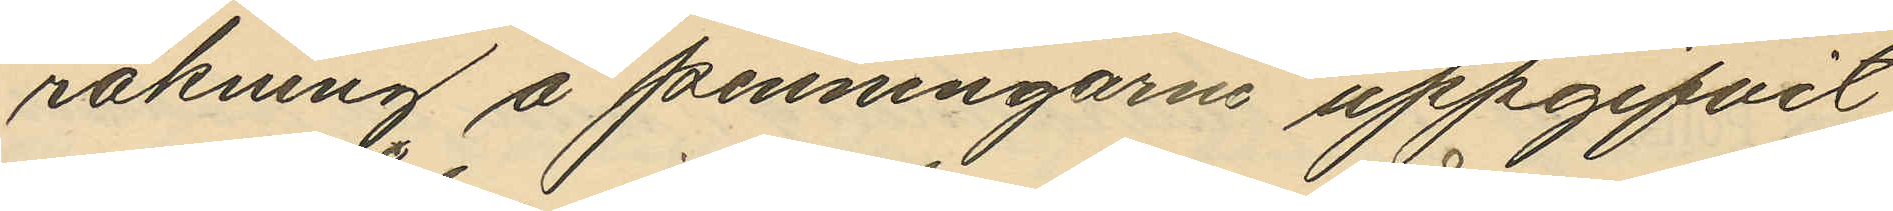räkning å penningarne uppgifvit
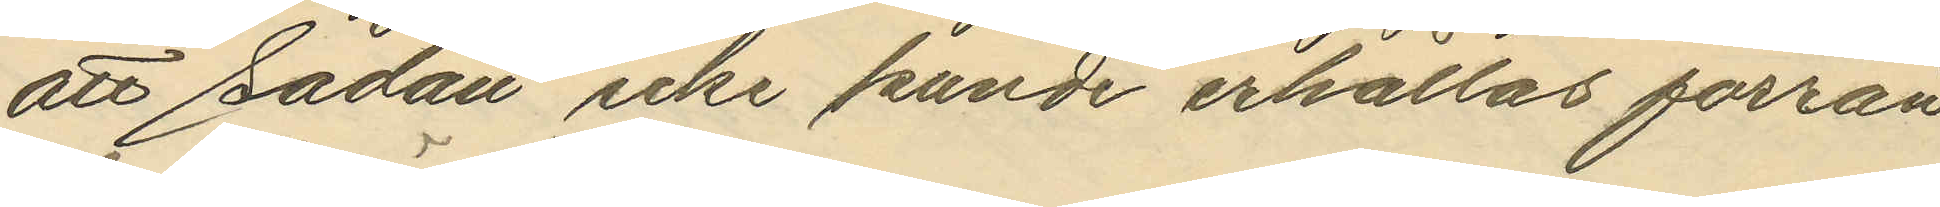att sådana icke kunde erhållas förrän
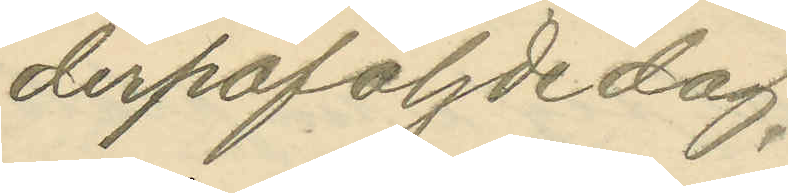derpåföljde dag.
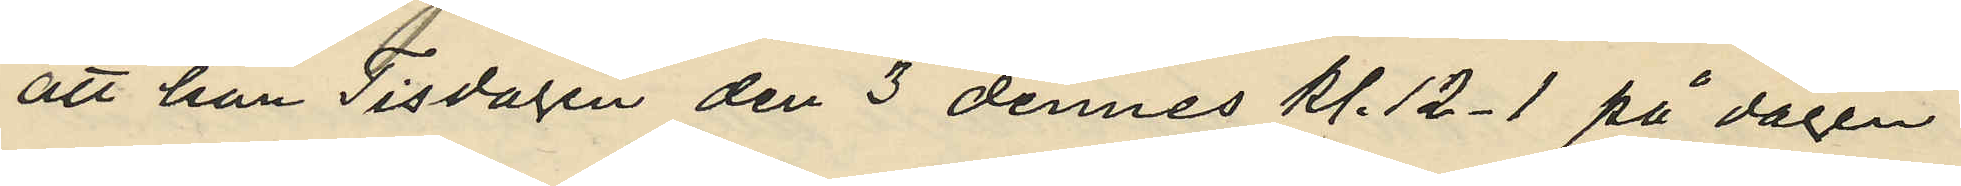att han Tisdagen den 3 dennes kl. 12-1 på dagen,
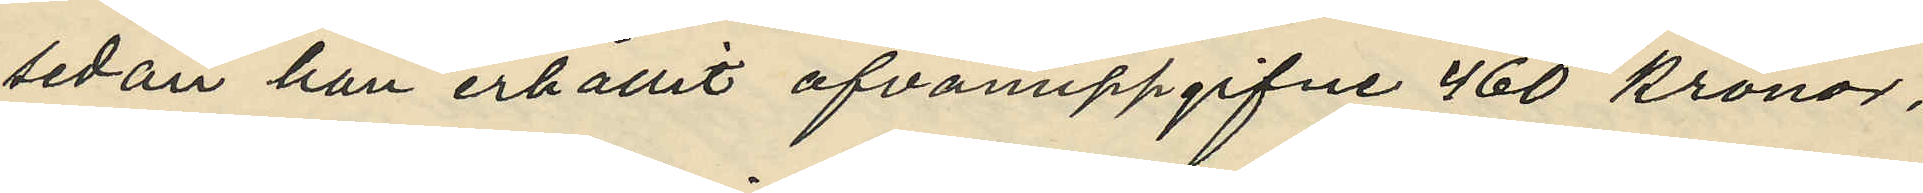sedan han erhållit ofvanuppgifne 460 kronor,
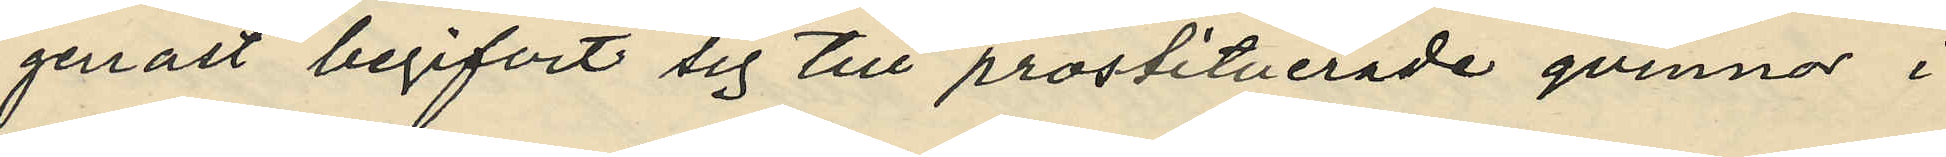genast begifvit sig till prostituerade qvinnor i 
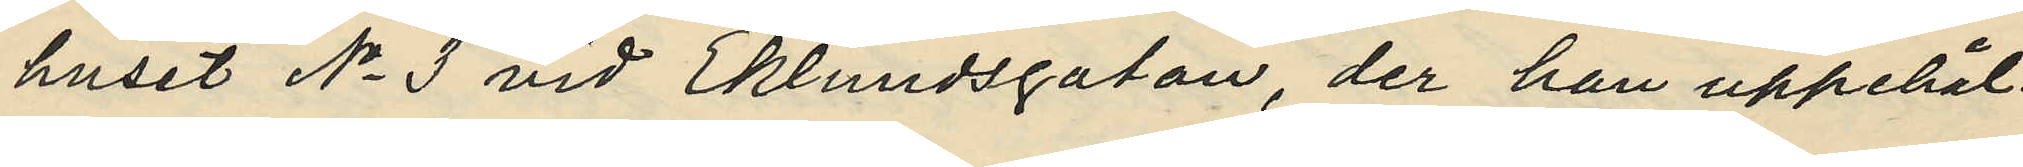huset No 3 vid Eklundsgatan, der han uppehål¬
